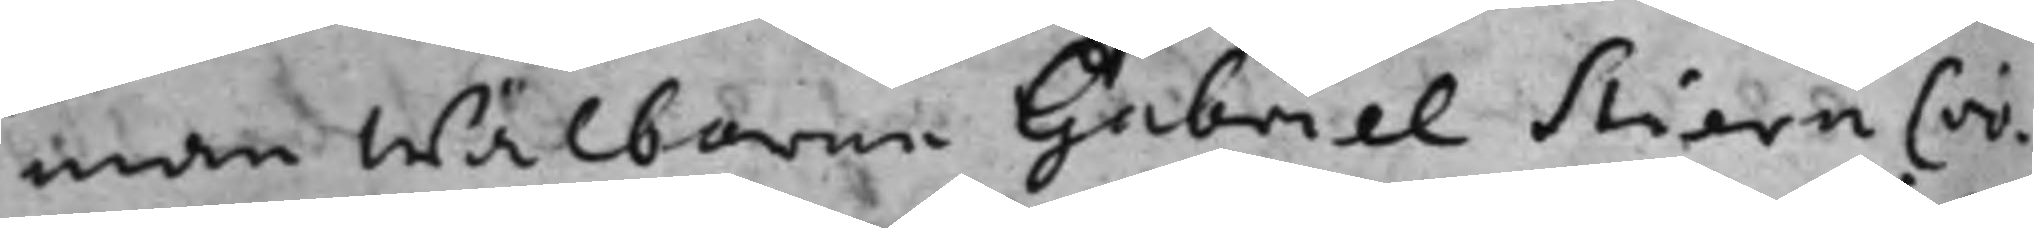man wälborne Gabriel StiernCro¬
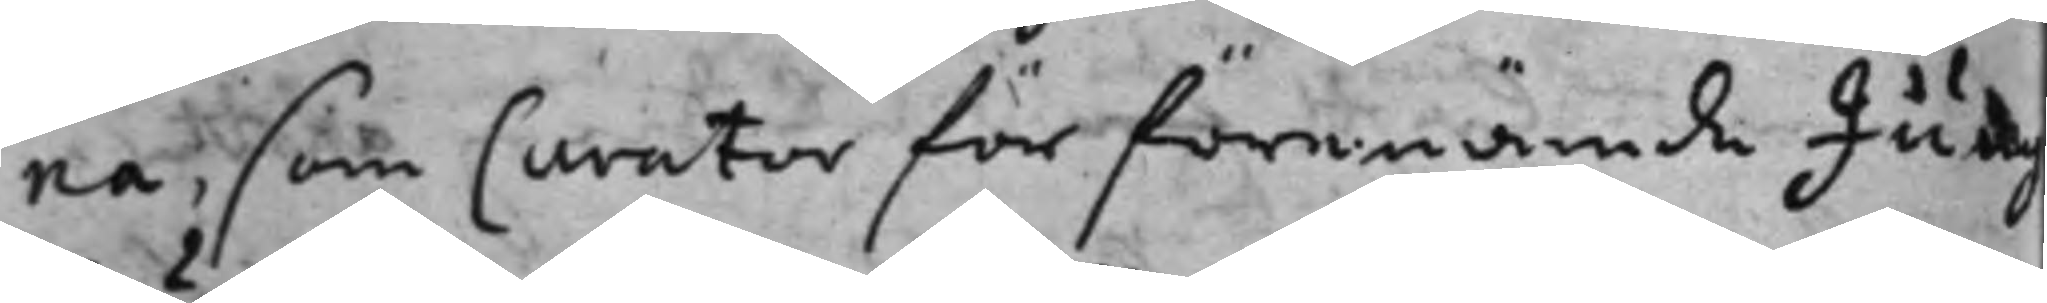na; som Curator för förenämde Jung¬
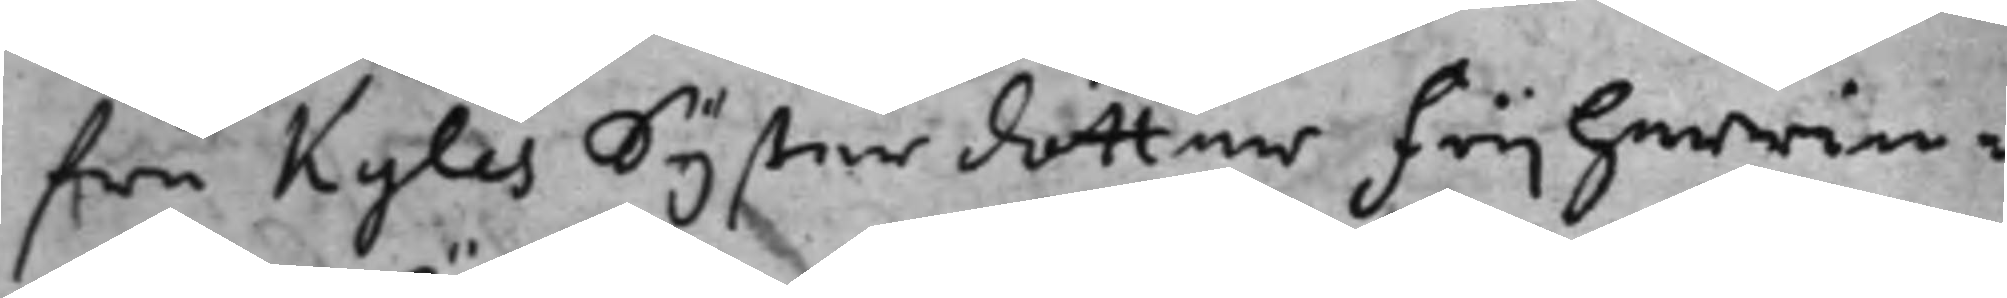fru Kyles systerdotter frijherrin¬
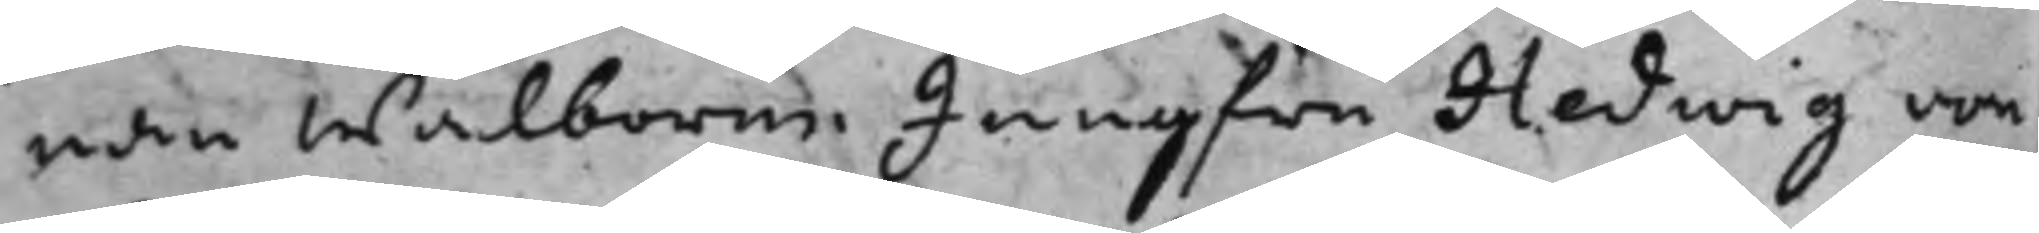nan wälborne Jungfru Hedwig von
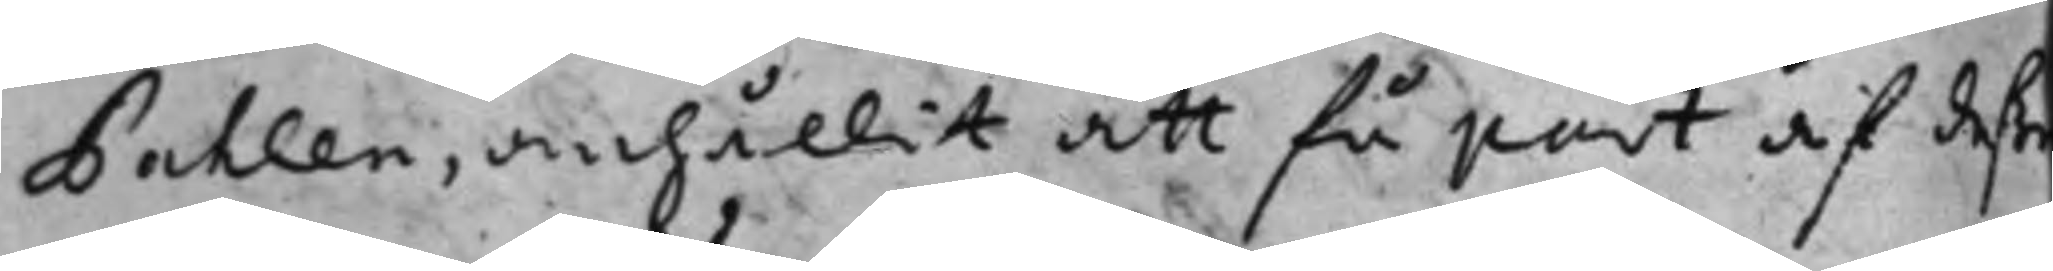Pahlen, anhållit att få part af deße
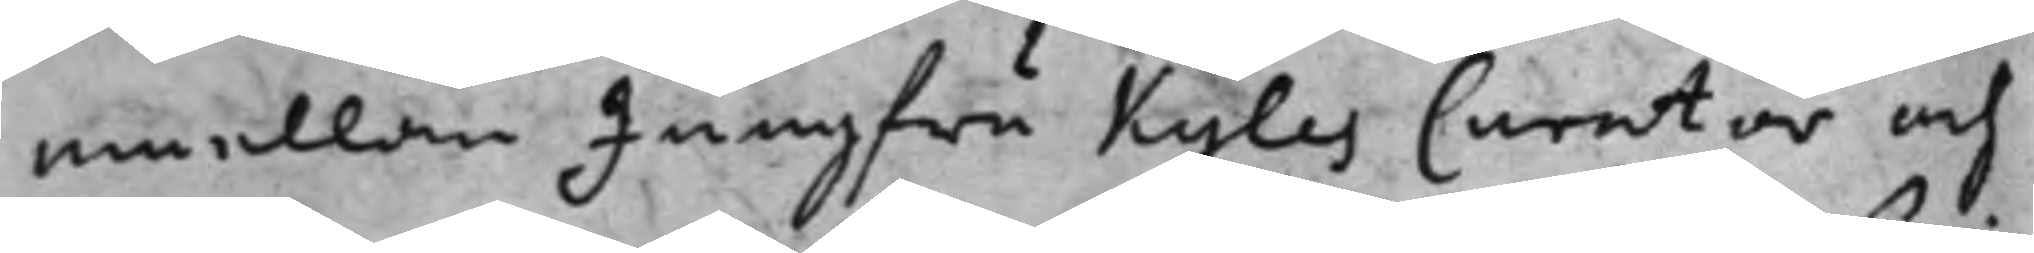emellan Jungfru Kyles Curator och
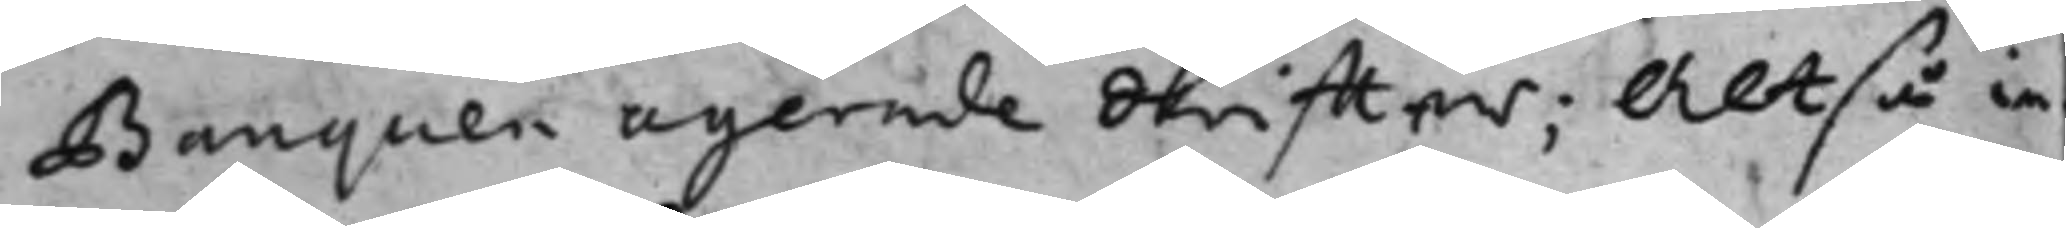Banquen agerede skriffter; Altså in¬
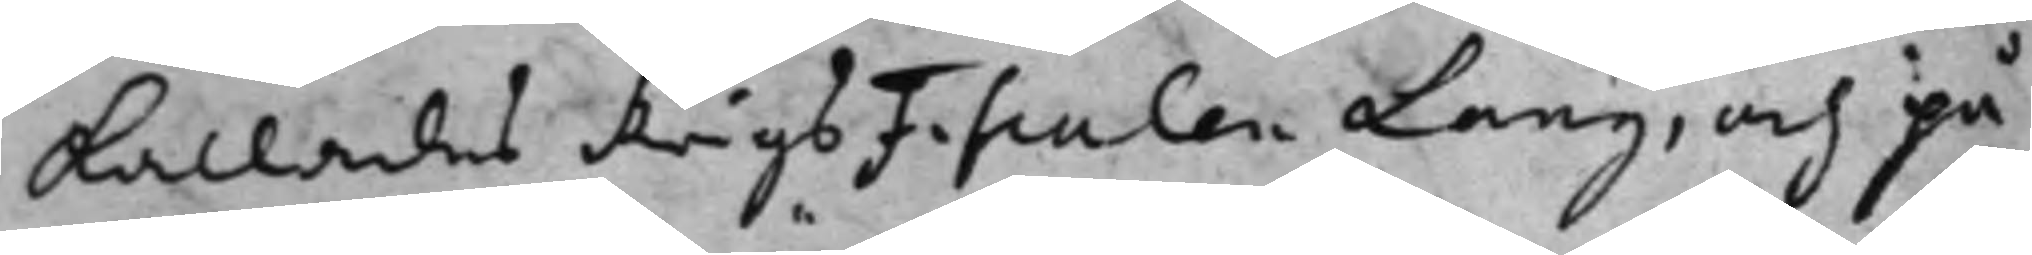kallades KrigsFiscalen Lang, och på
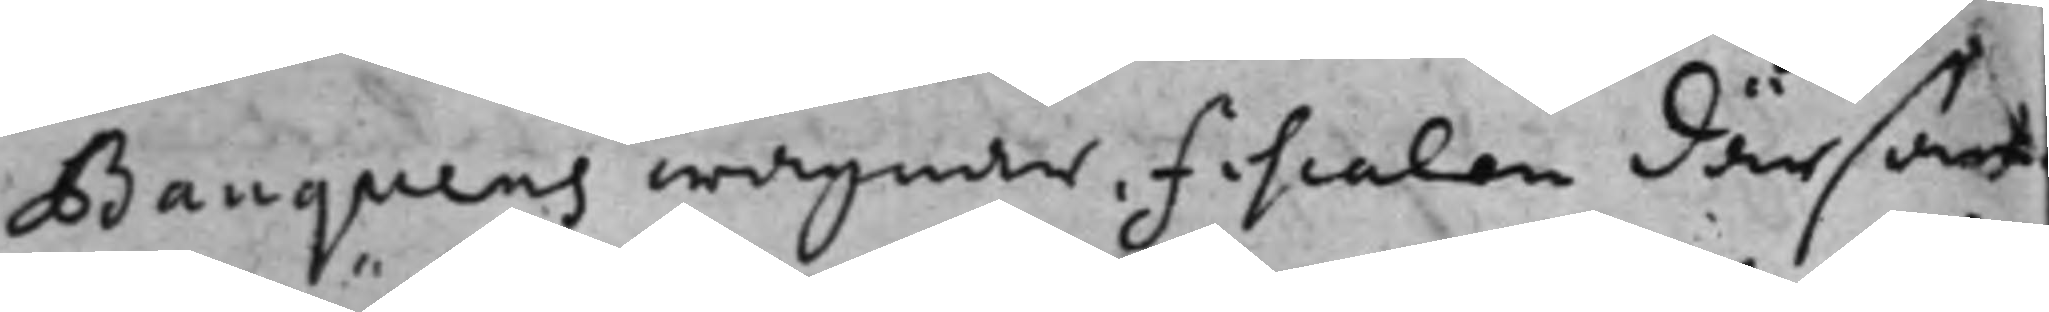Banquens wägnar, fiscalen därsam¬
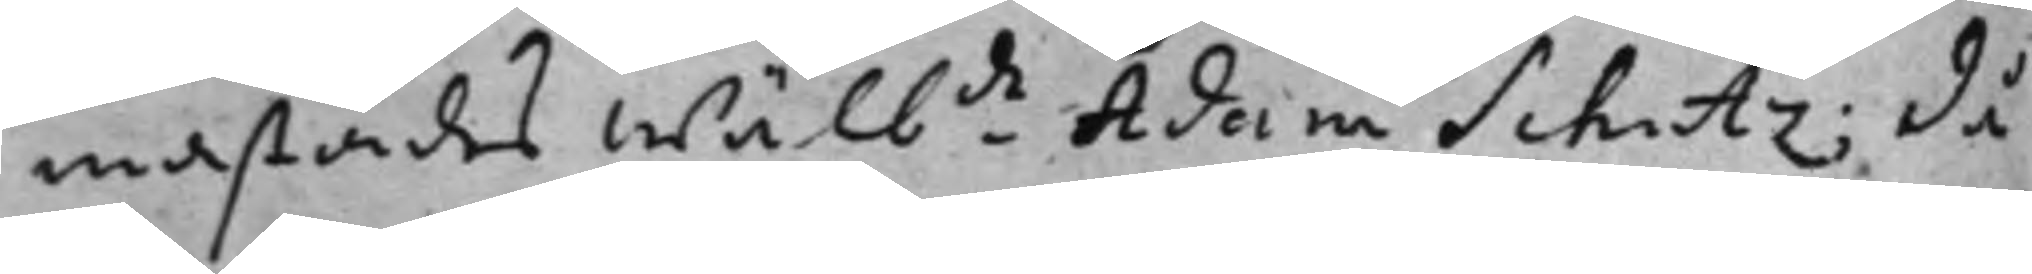mastädes wäl.de Adam Schutz; då
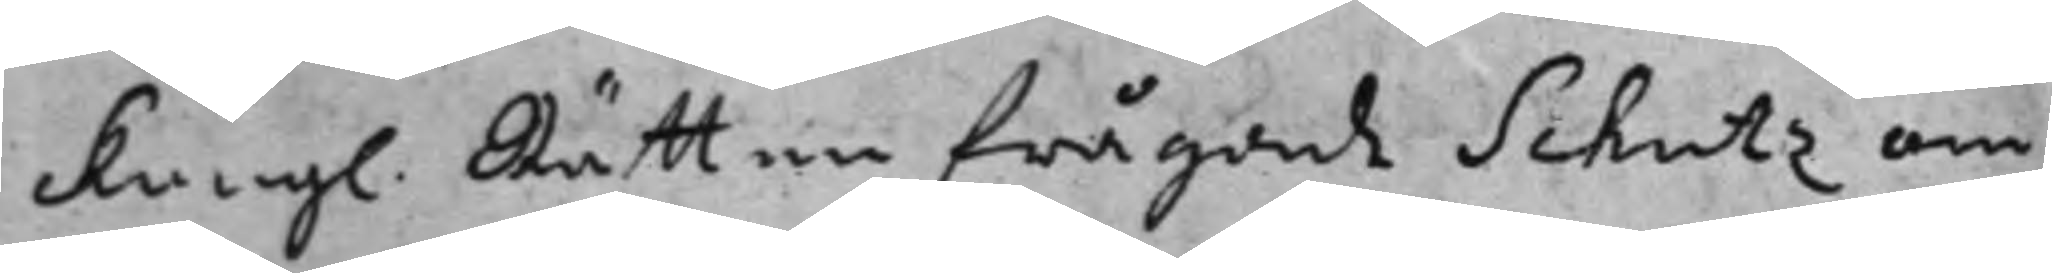Kongl. Rätten frågade Schutz om
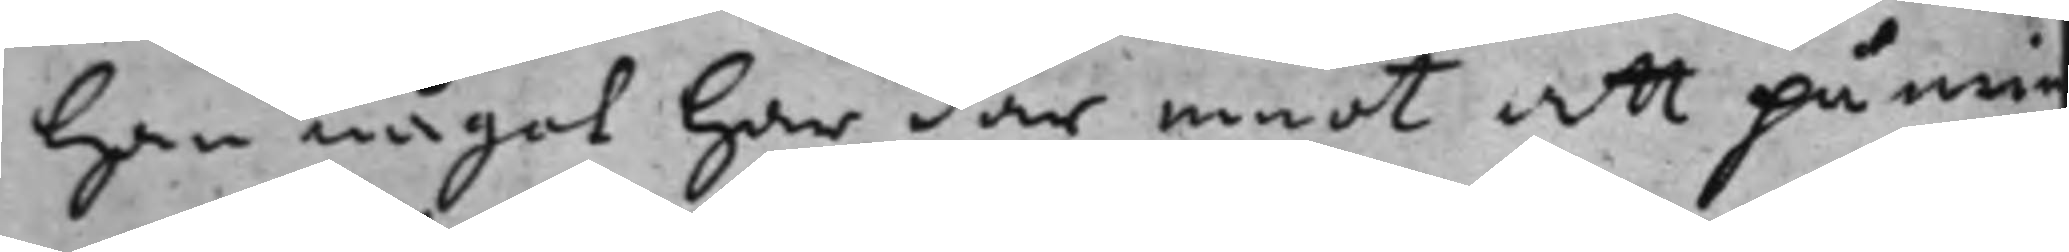han något har där emot att påmin¬
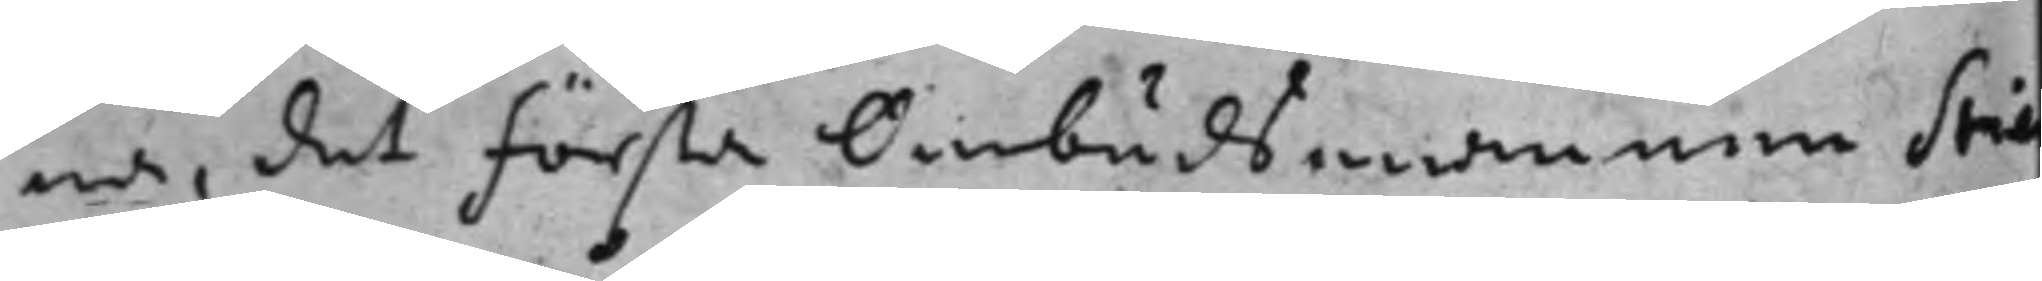na, det första Ombudsmannen Stie
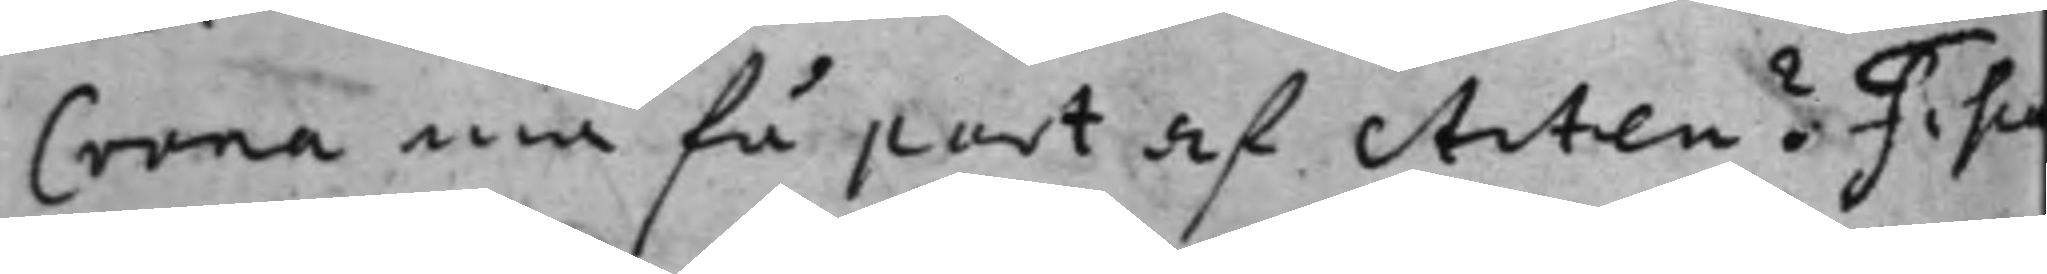Crona må få part af Acten? Fisca¬
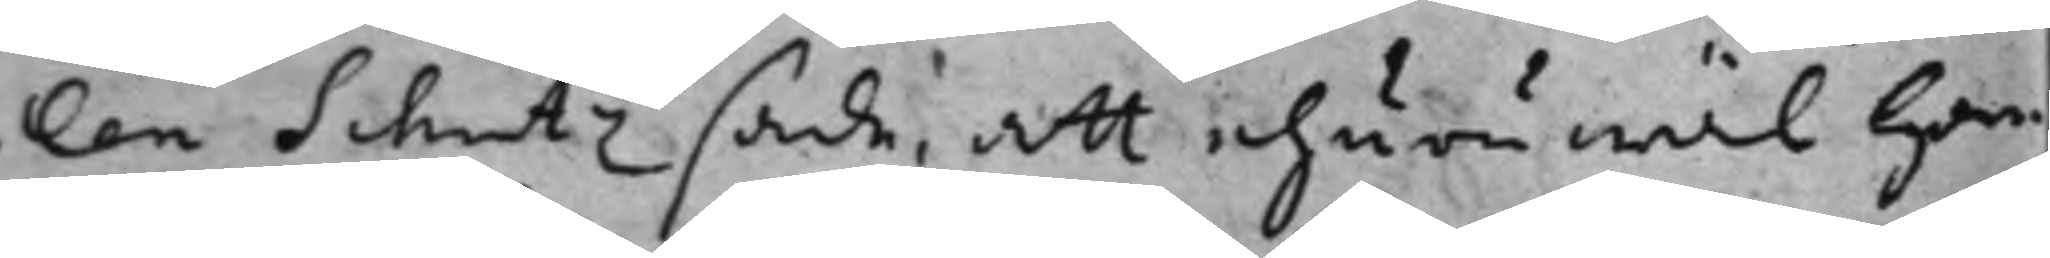len Schutz sade, att ehuru wäl han
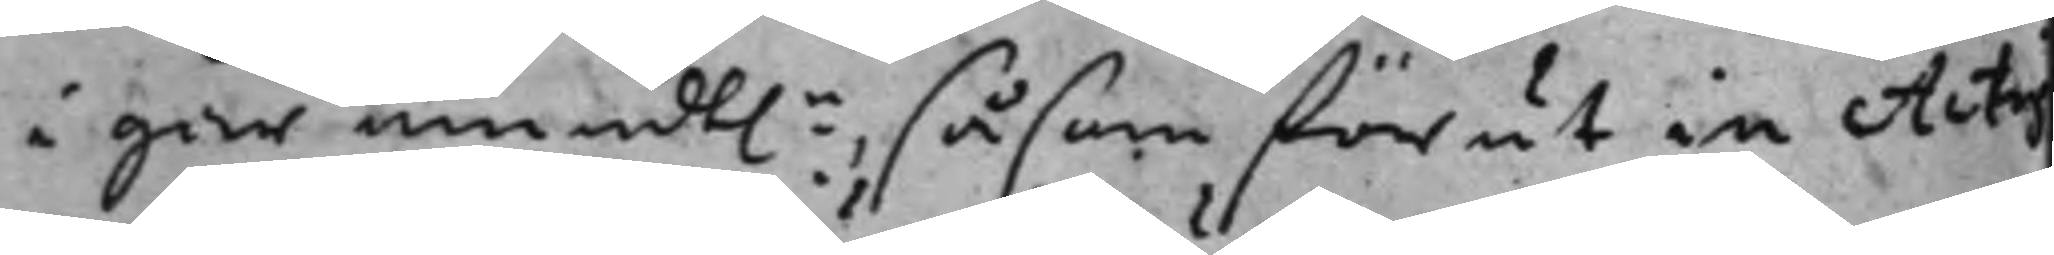i går mundt.n, såsom förut in Acti
